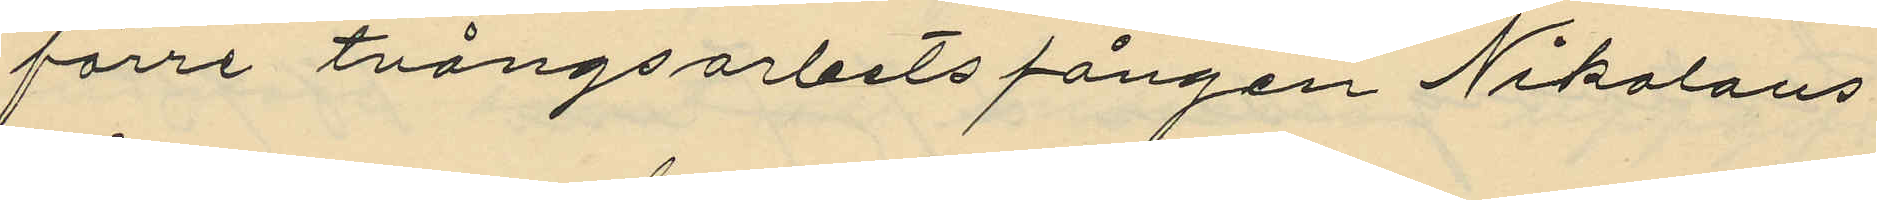förre tvångsarbetsfången Nikolaus
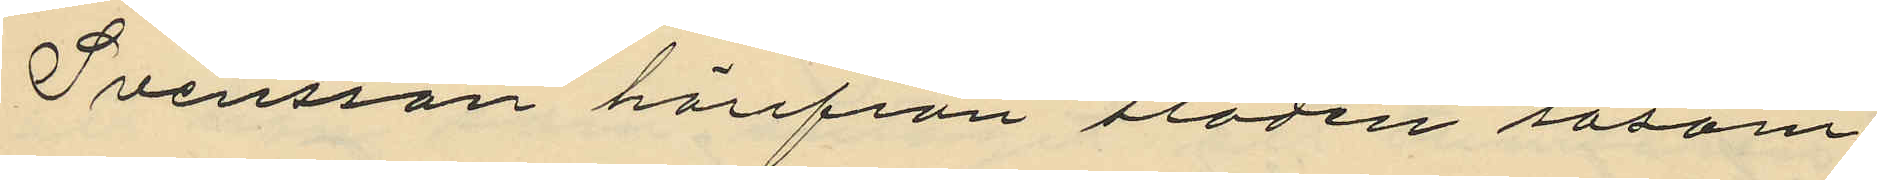Svensson härifrån staden såsom
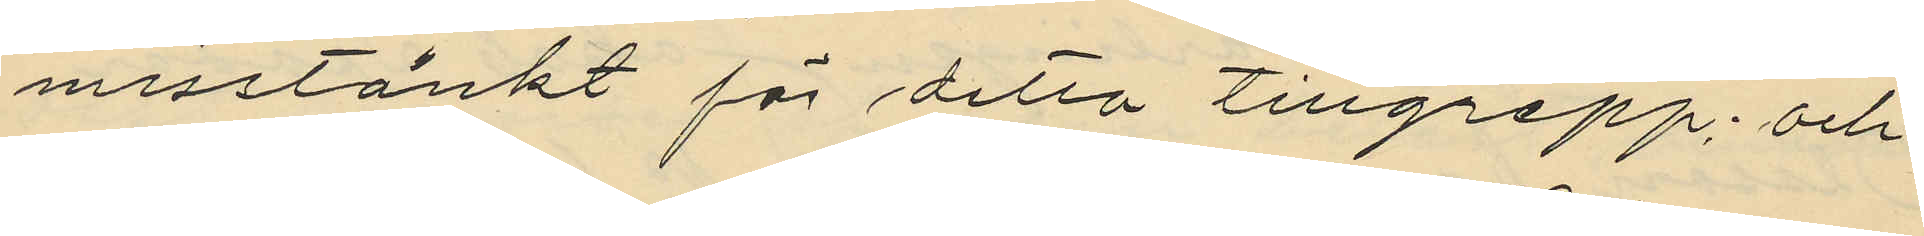misstänkt för detta tillgrepp; och
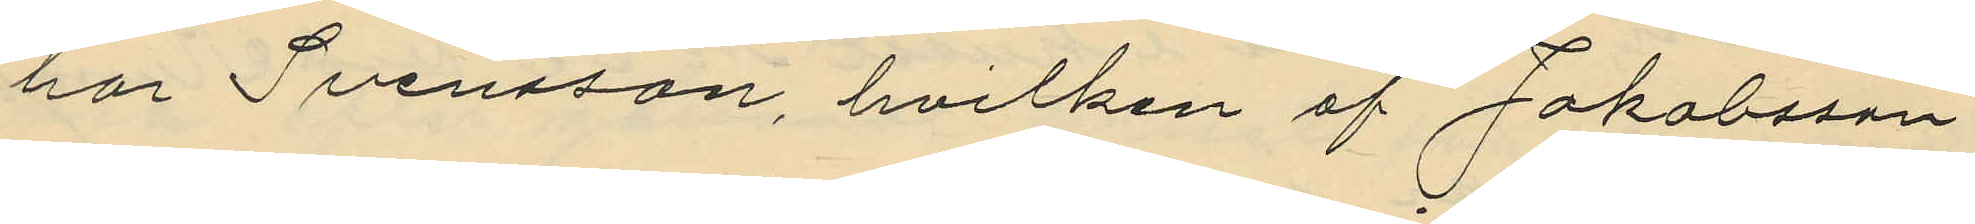har Svensson, hvilken af Jakobsson
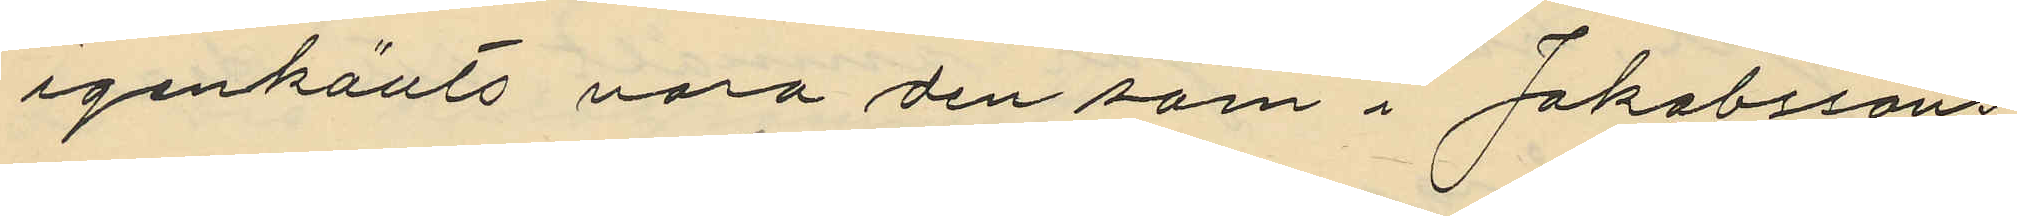igenkänts vara den som i Jakobssons
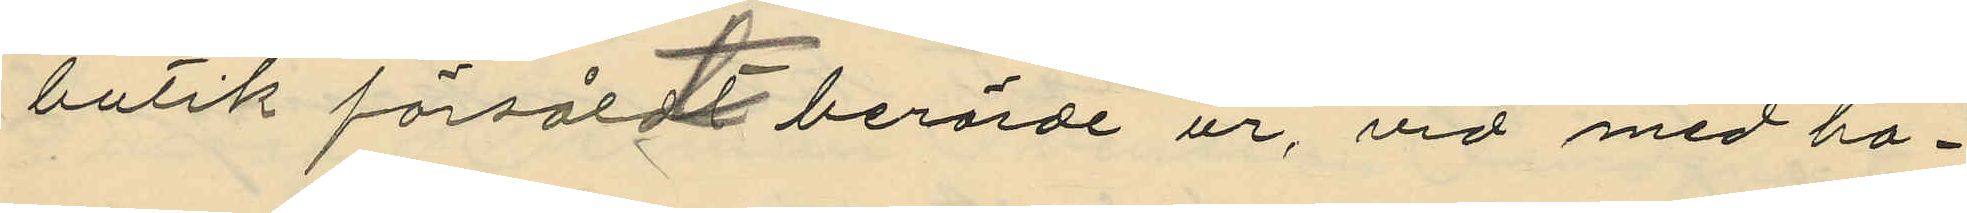butik försåldt berörde ur, vid med ha¬
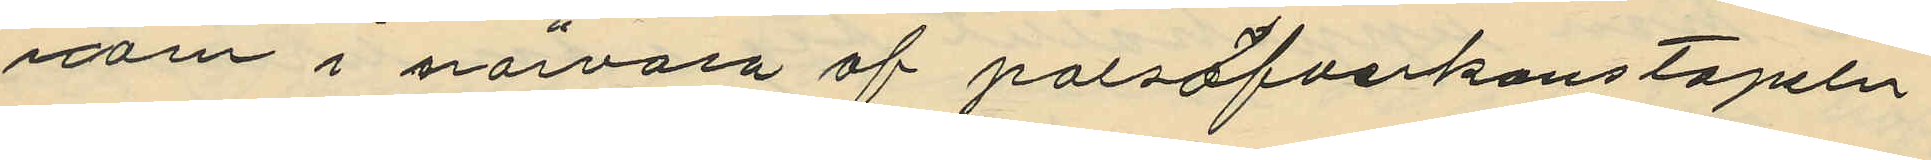nom i närvaro af polisöfverkonstapeln
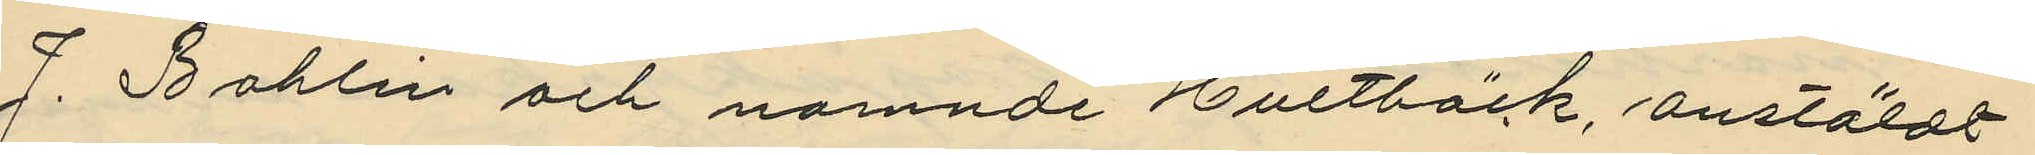J. Bohlin och nämnde Hultbäck, anstäldt
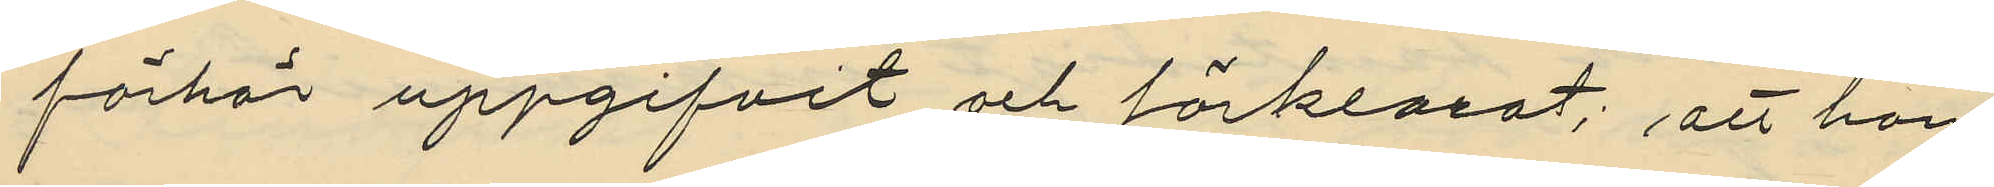förhör uppgifvit och förklarat; att han
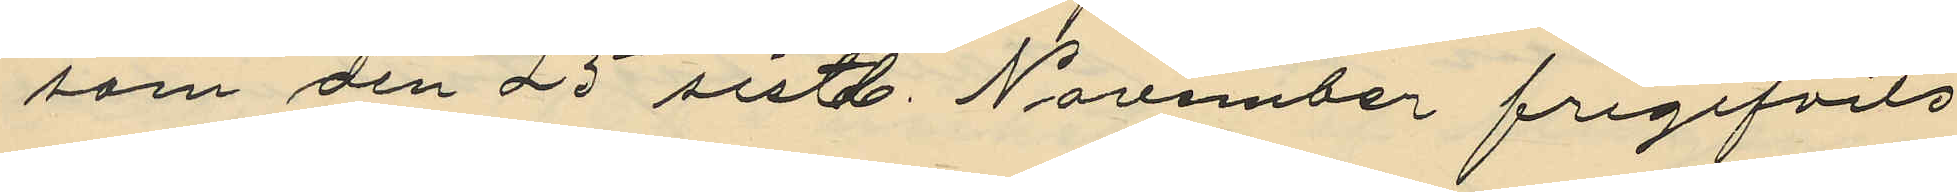som den 25 sistl. November frigifvits
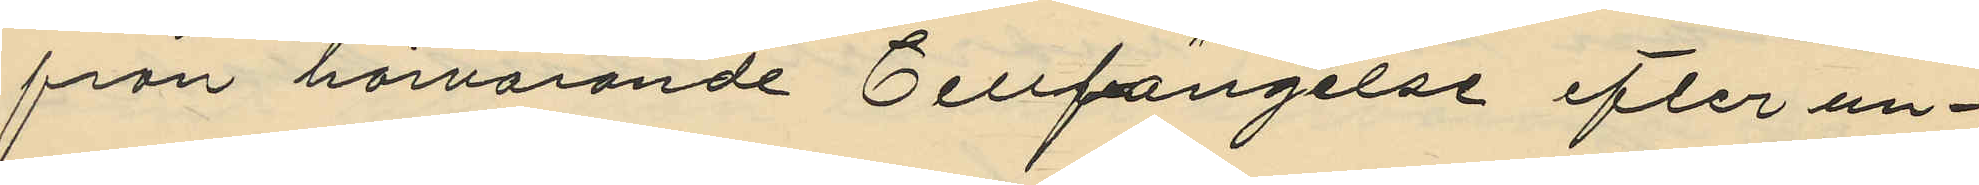från härvarande Cellfängelse efter un¬
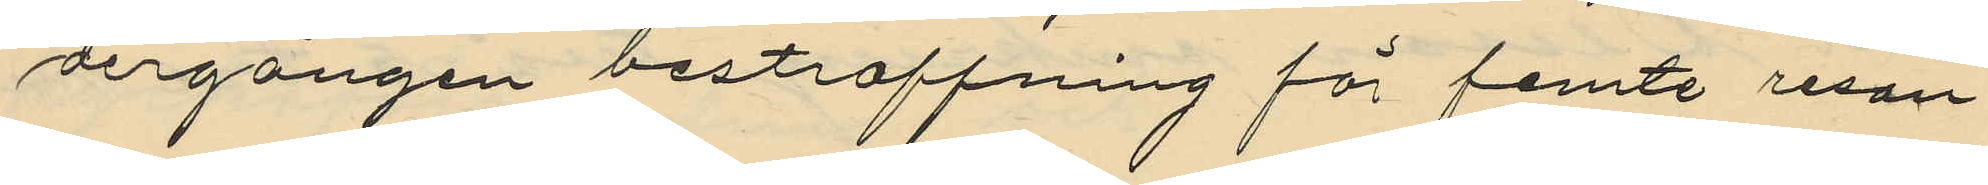dergången bestraffning för femte resan
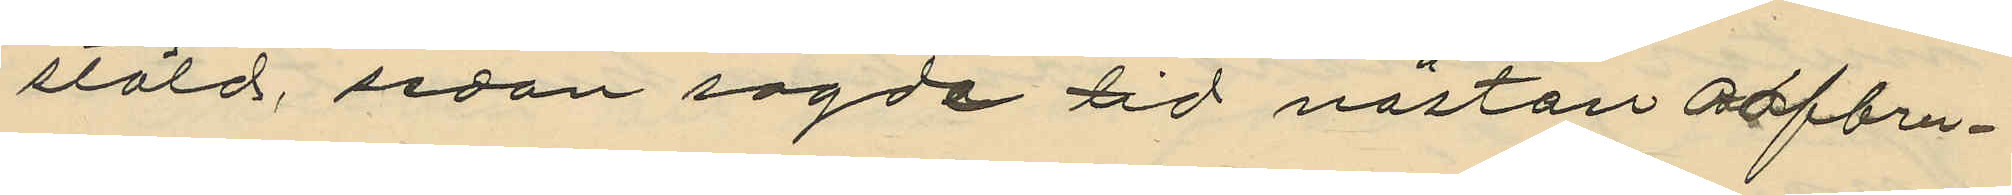stöld, sedan sagde tid nästan oafbru¬
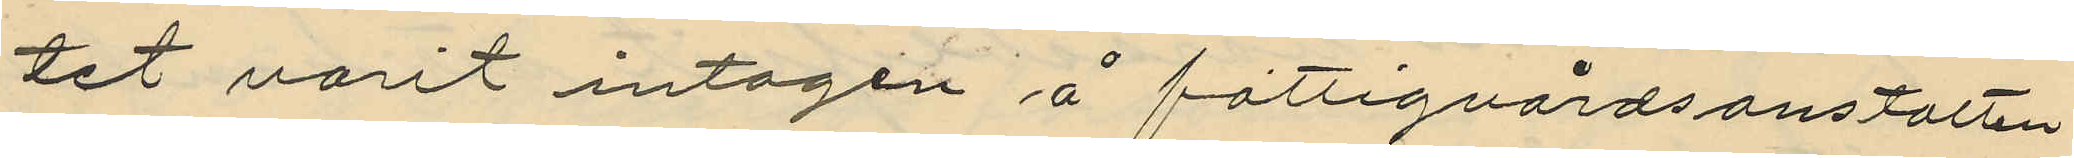tet varit intagen å fattigvårdsanstalten
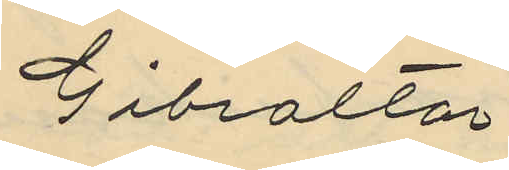Gibraltar.
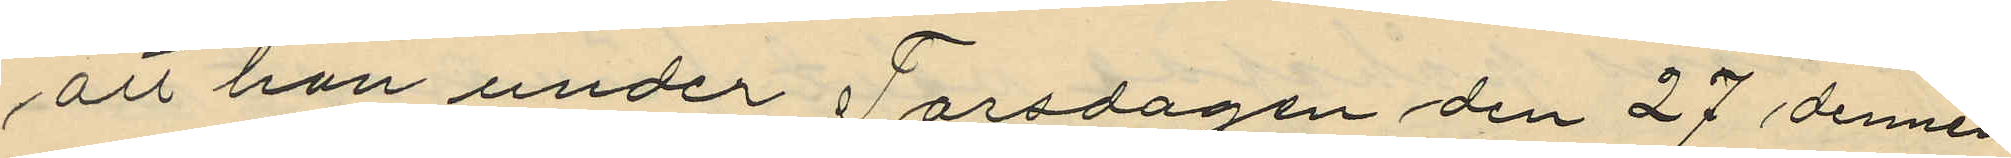att han under Torsdagen den 27 dennes
